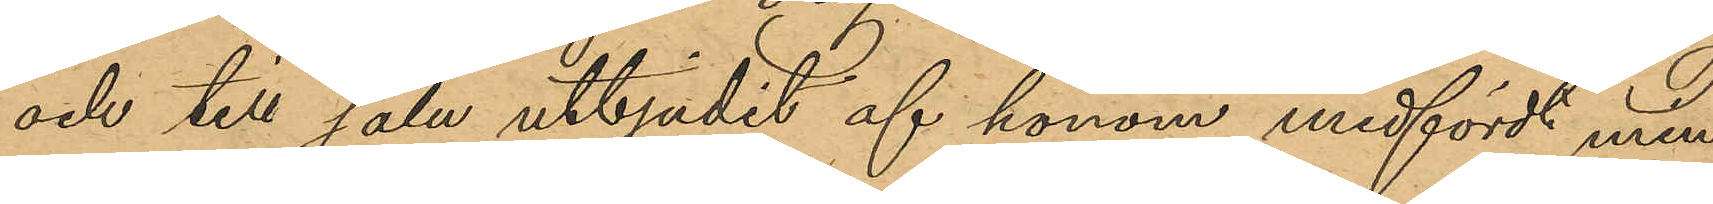och till salu utbjudit af honom medfördt min¬
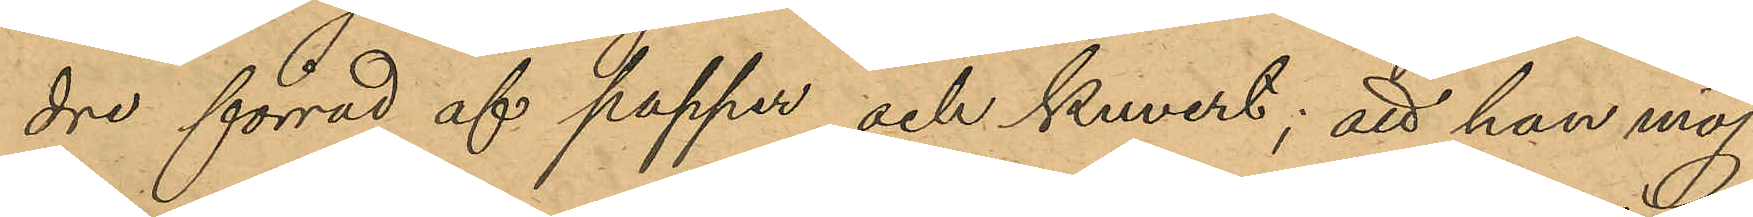dre förråd af papper och kuvert; att han möj¬
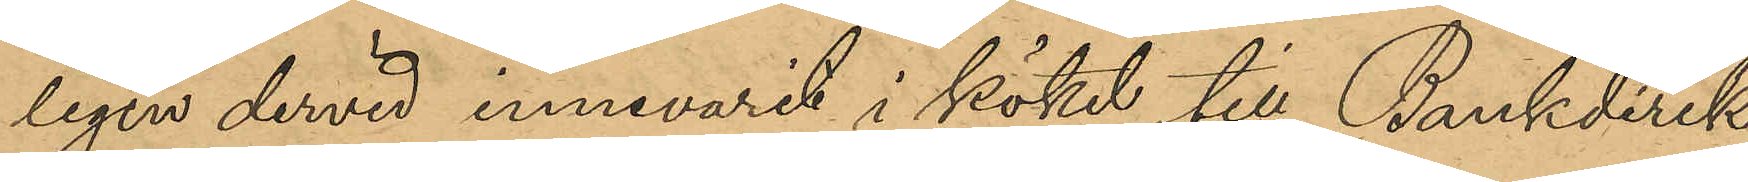ligen dervid innevarit i köket till Bankdirek-
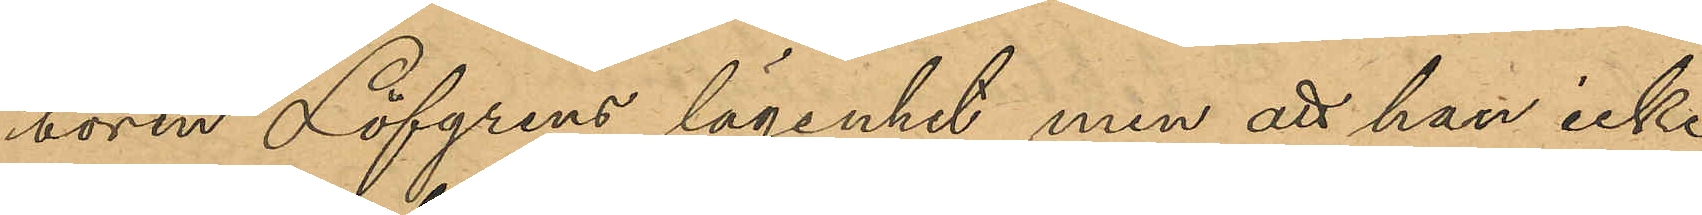tören Löfgrens lägenhet, men att han icke
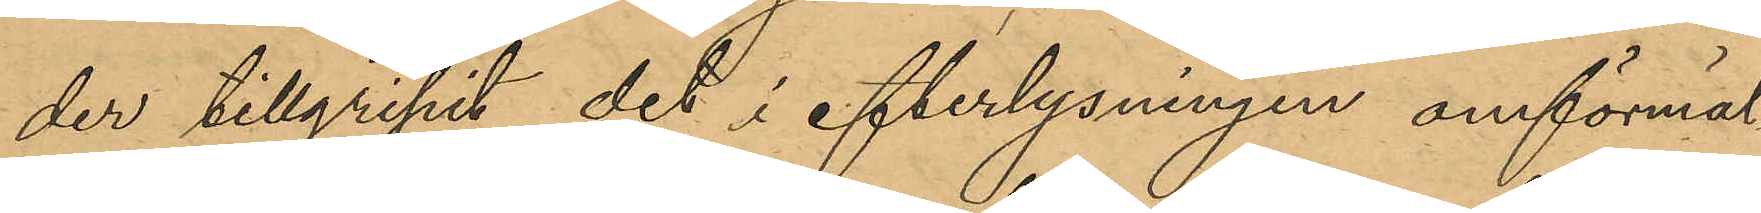der tillgripit det i efterlysningen omförmäl¬
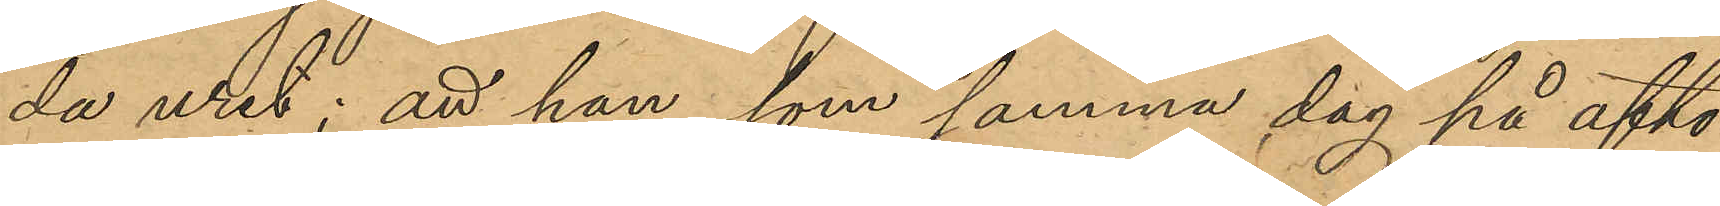da uret; att han som samma dag på afto¬
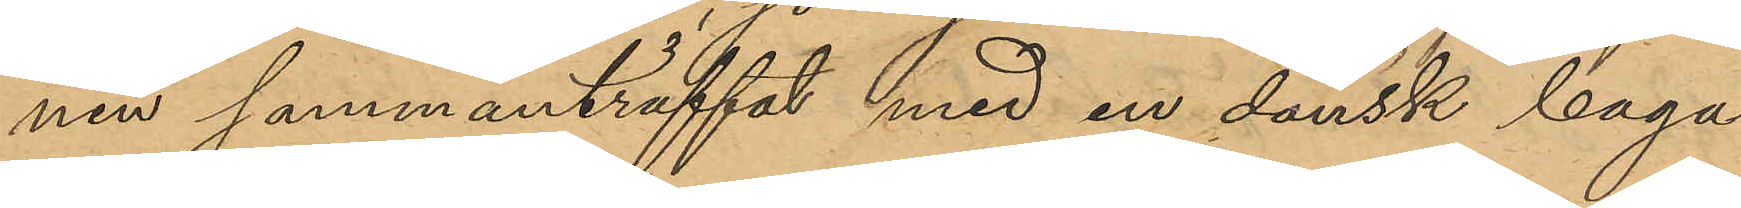nen sammanträffat med en dansk baga¬
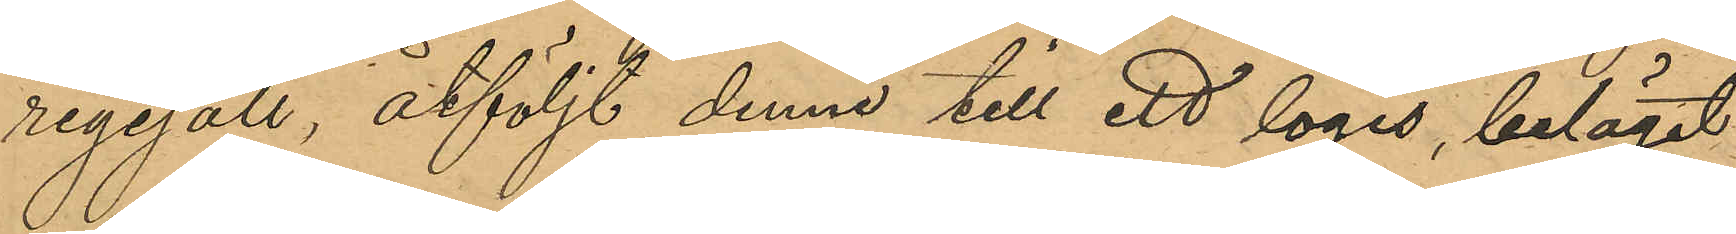regesäll åtföljde denne till ett logis, beläget
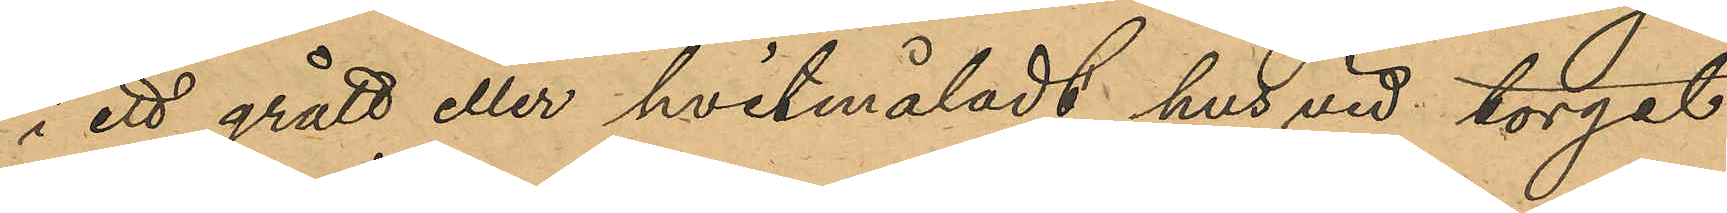i ett grått eller hvitmåladt hus vid torget
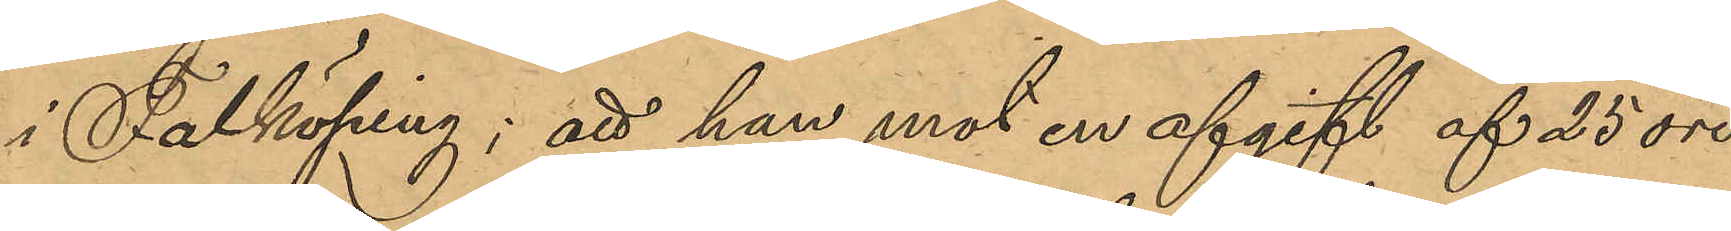i Falköping; att han mot en afgift af 25 öre
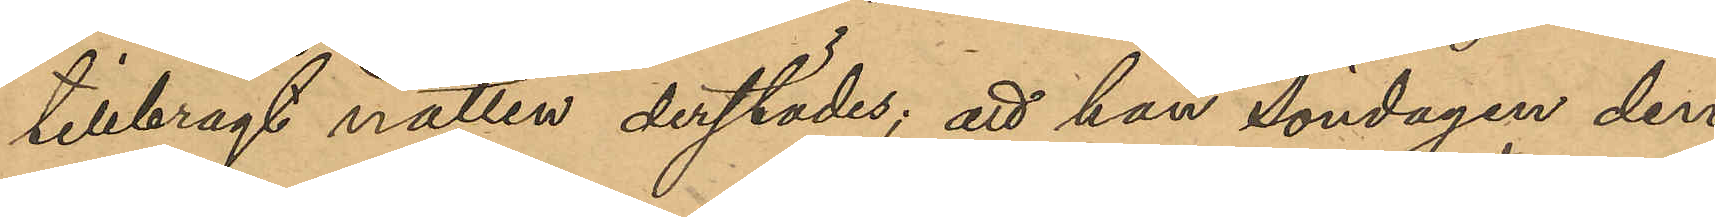tillbragt natten derstädes; att han Söndagen den
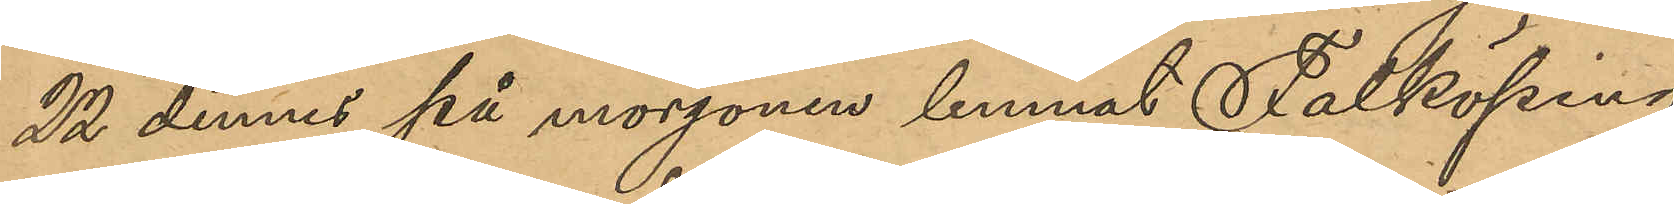22 dennes på morgonen lemnat Falköping
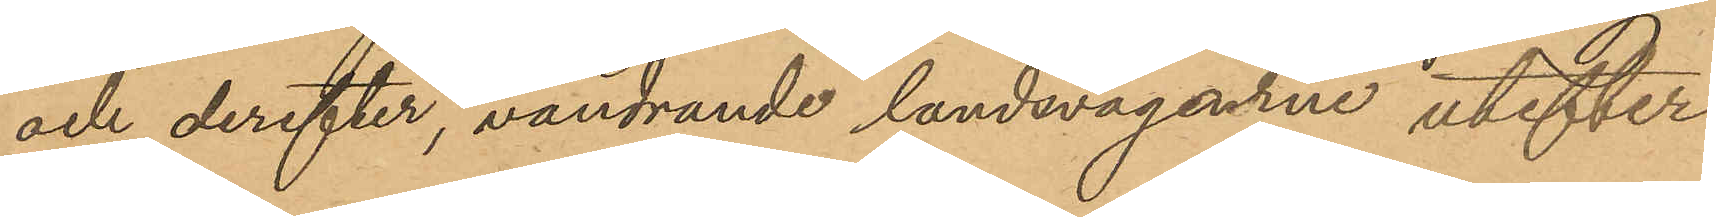och derefter, vandrande landsvägarne utefter
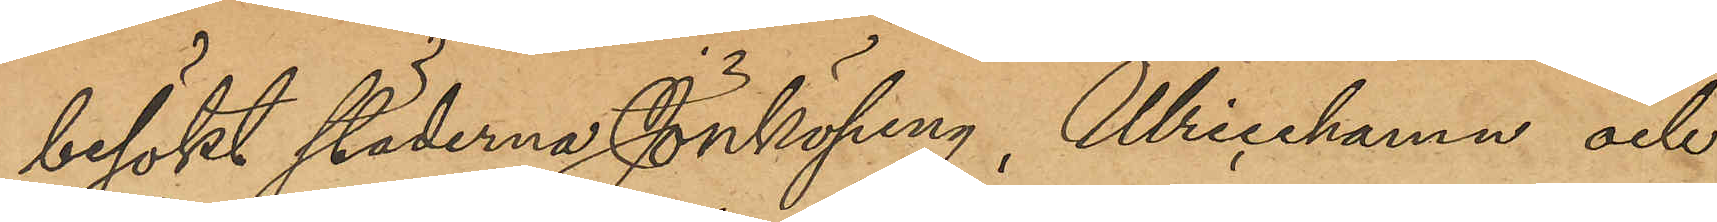besökt städerna Jönköping, Ulricehamn och
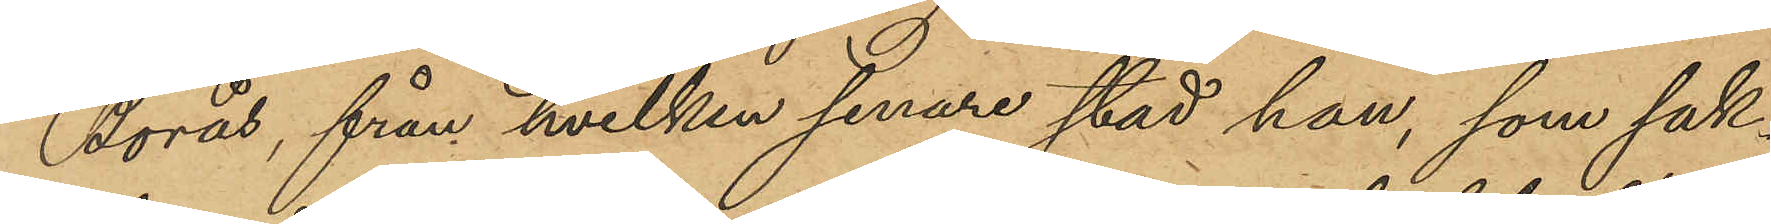Borås, från hvilken senare stad han, som sak¬
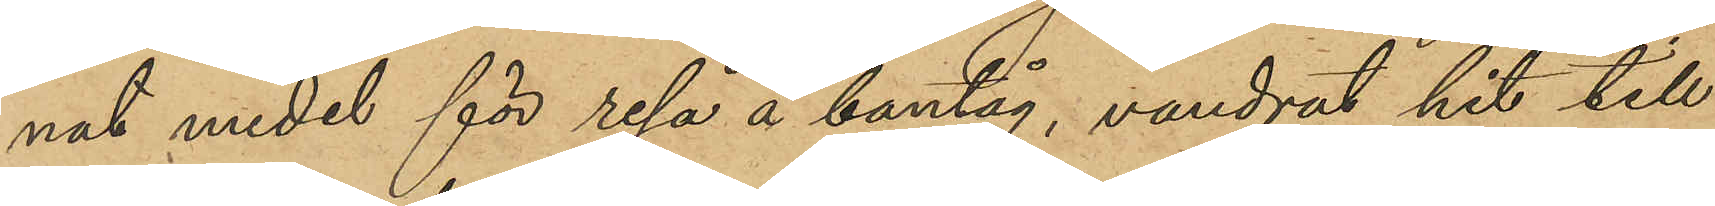nat medel för resa å bantåg, vandrat hit till
